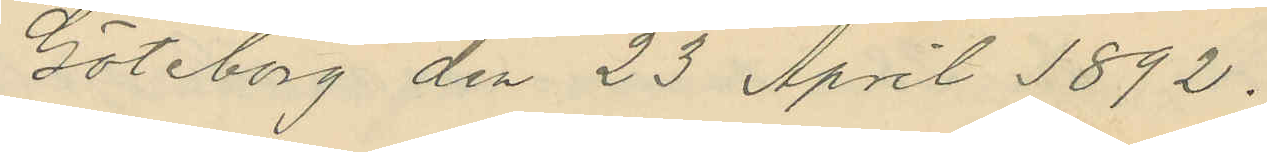Göteborg den 23 April 1892.
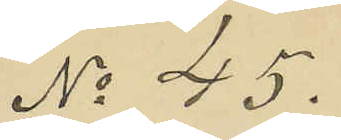No 45.
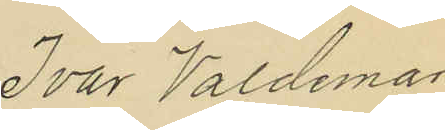Ivar Valdemar
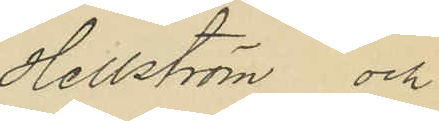Hellström och
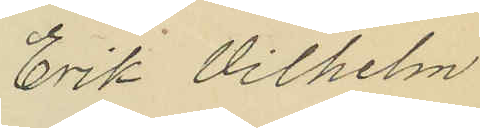Erik Vilhelm
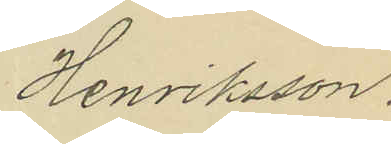Henriksson.
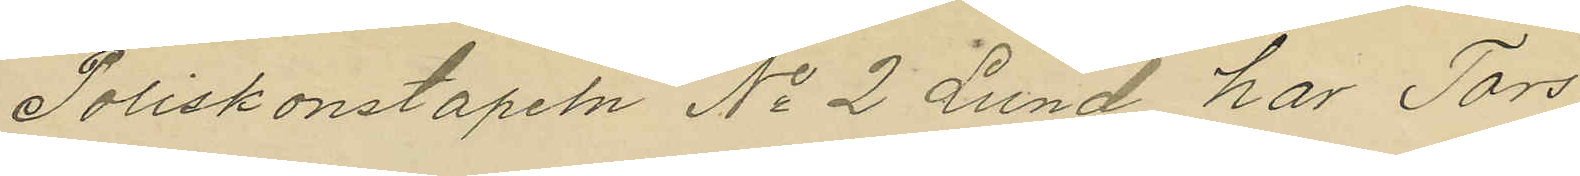Poliskonstapeln No 2 Lund har Tors¬
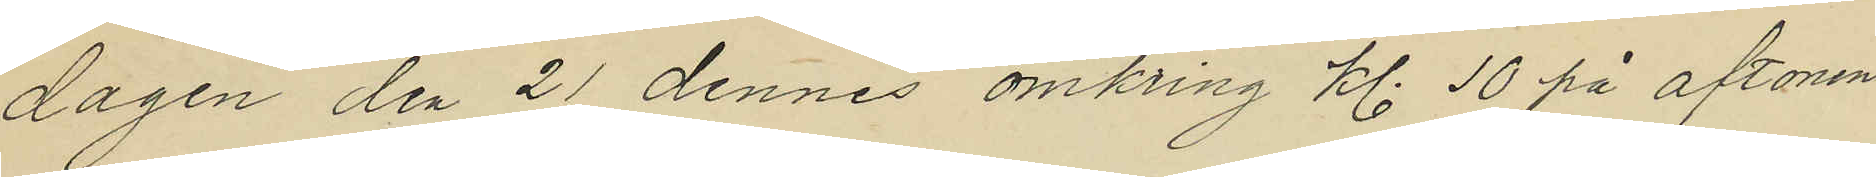dagen den 21 dennes omkring kl. 10 på aftonen
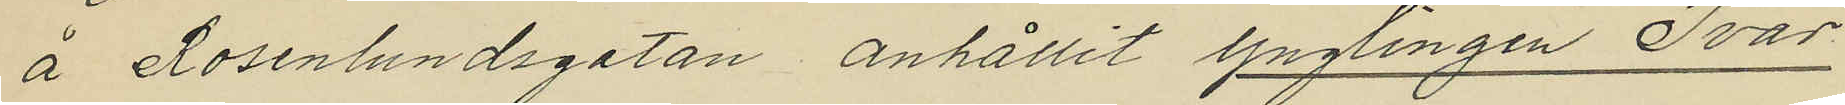å Rosenlundsgatan anhållit ynglingen Ivar
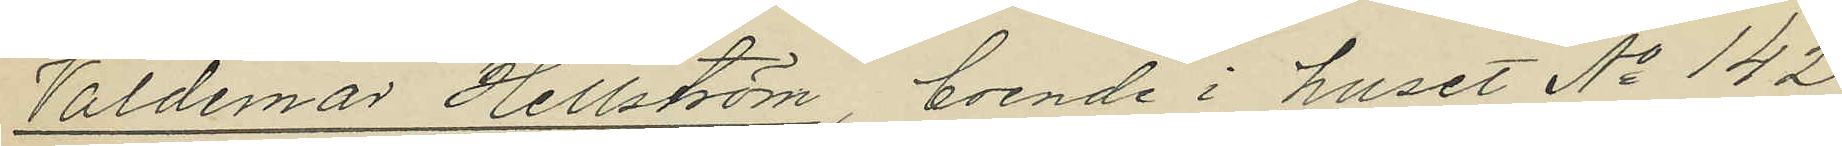Valdemar Hellström, boende i huset No 142
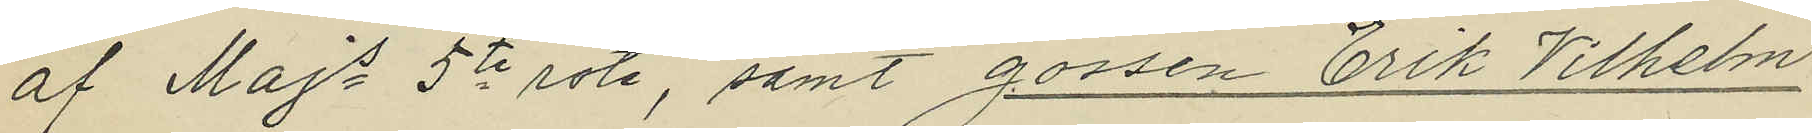af Majs 5te rote, samt gossen Erik Vilhelm
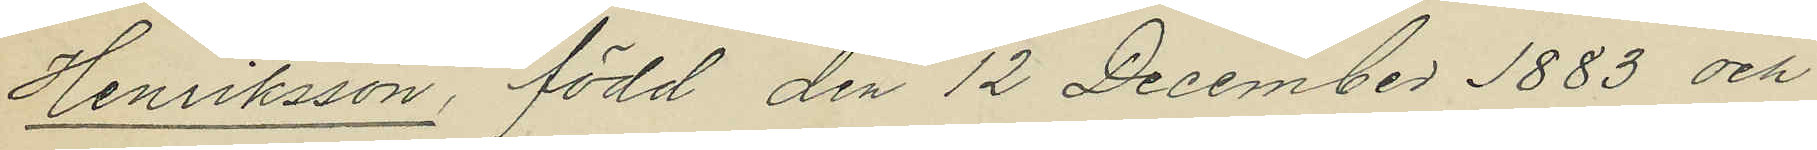Henriksson, född den 12 December 1883 och
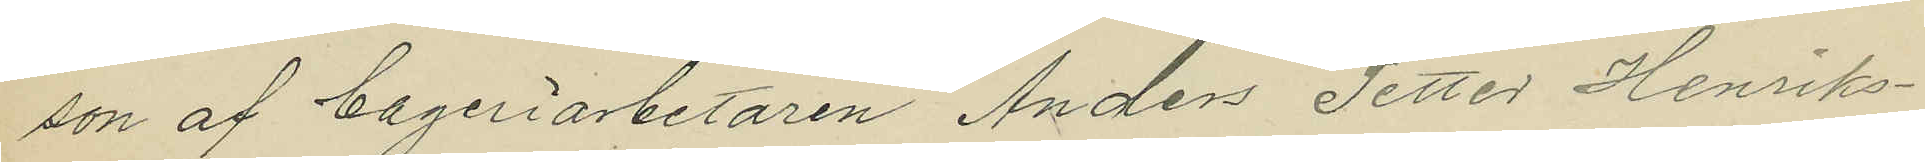son af bageriarbetaren Anders Petter Henriks¬
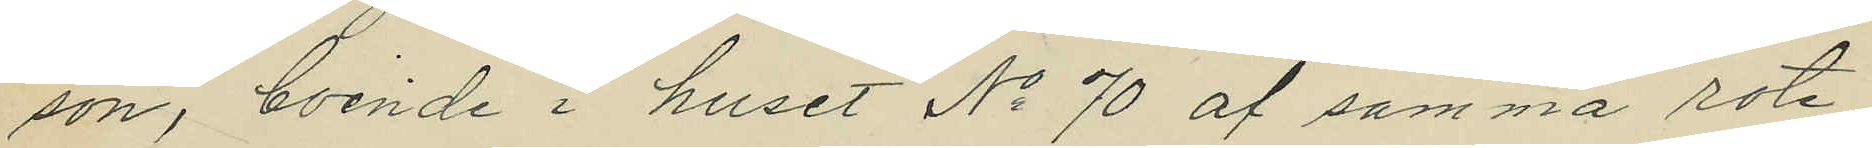son, boende i huset No 70 af samma rote,
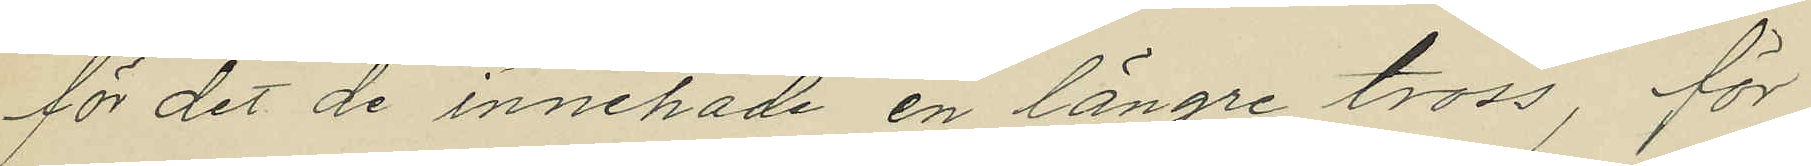för det de innehade en längre tross, för
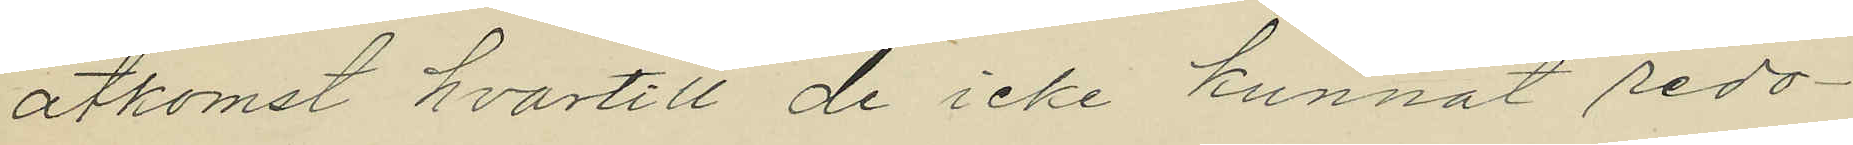åtkomst hvartill de icke kunnat redo¬
